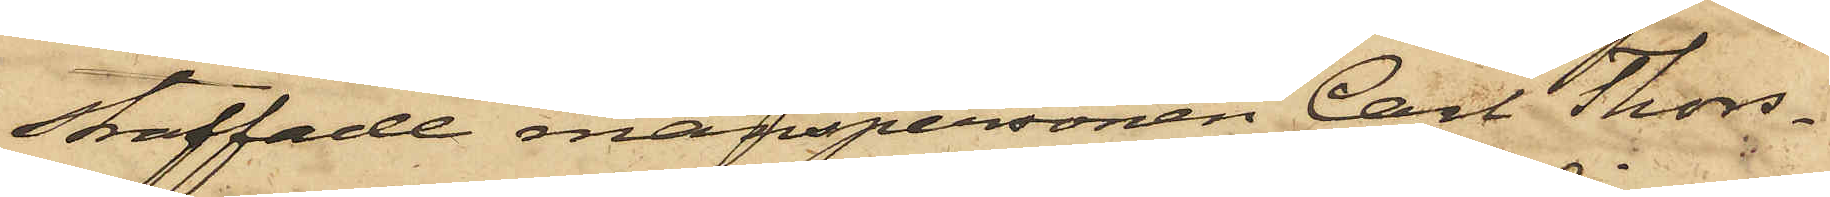straffade manspersonen Carl Thors¬
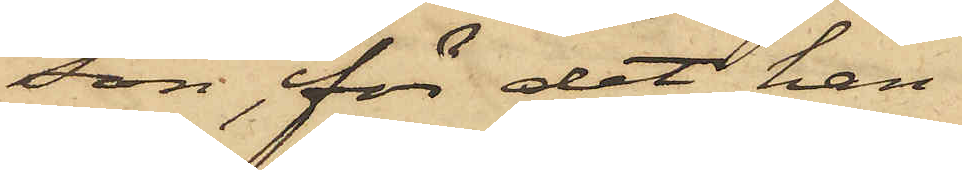son, för det han
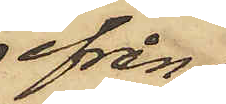ifrån
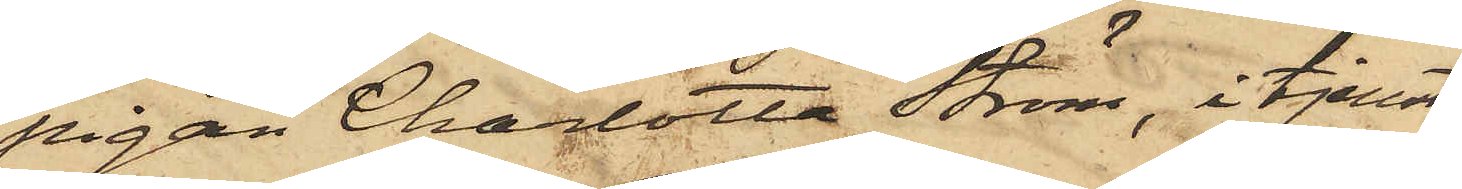pigan Charlotta Ström, i tjenst
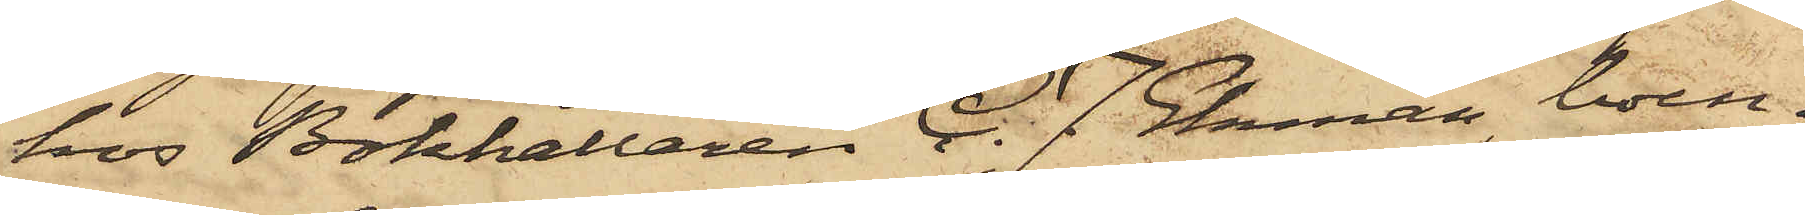hos Bokhållaren C. J. Ekman, boen¬
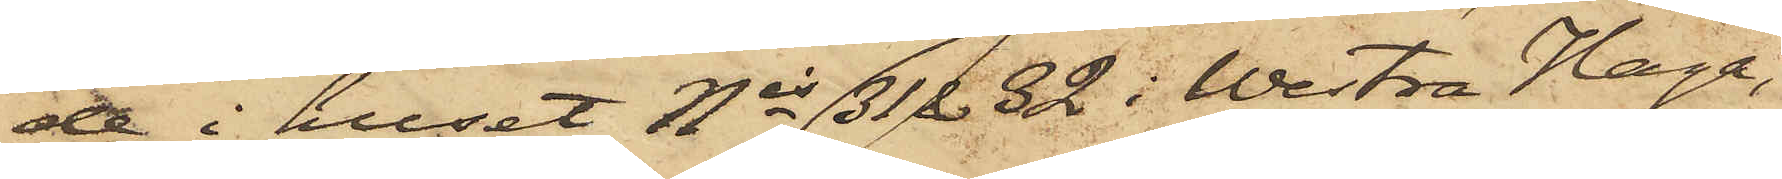de i huset Nis 31 & 32 i Westra Haga,
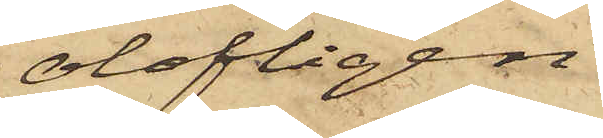olofligen
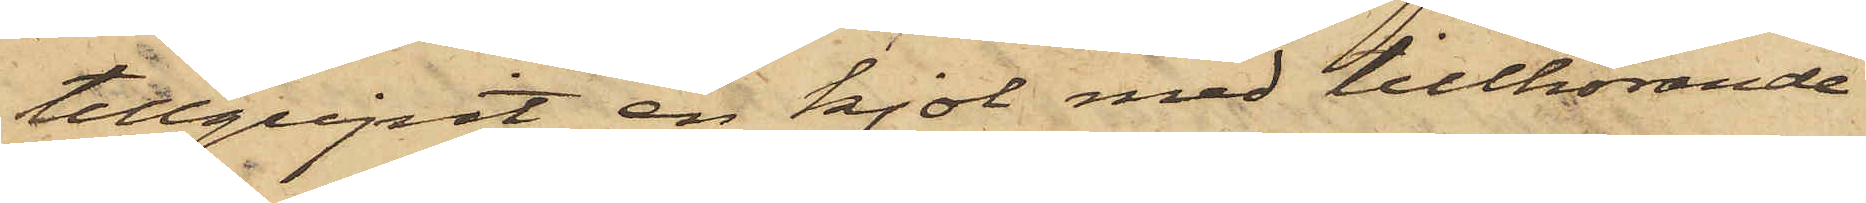tillgripit en kjol med tillhörande
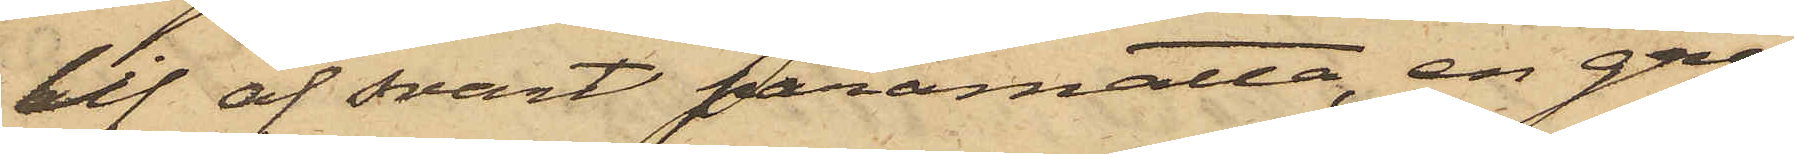lif af svart paramatta, en grå
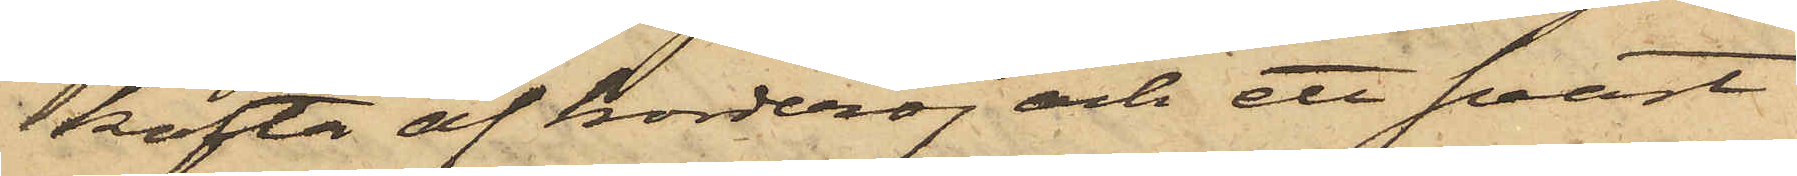kofta af korderoj och ett svart
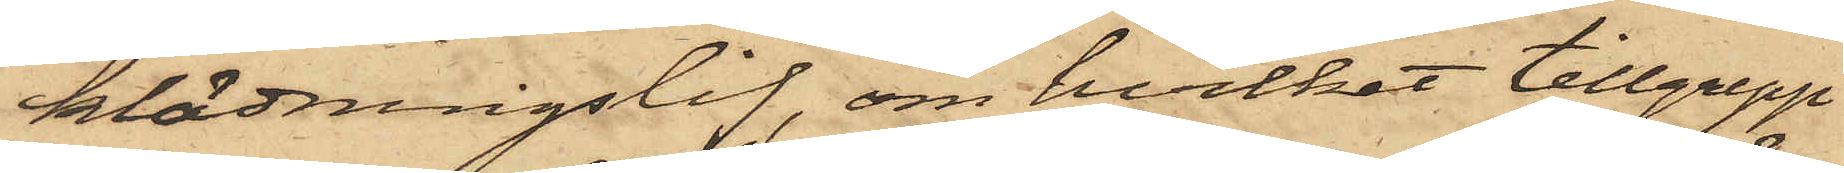klädningslif, om hvilket tillgrepp
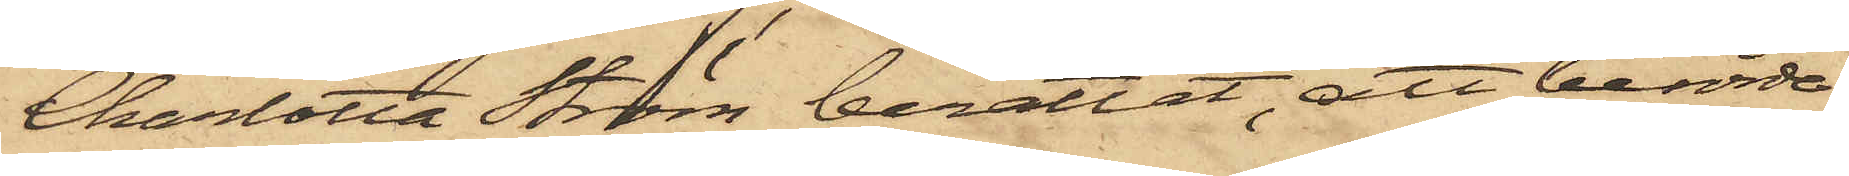Charlotta Ström berättat, att berörde
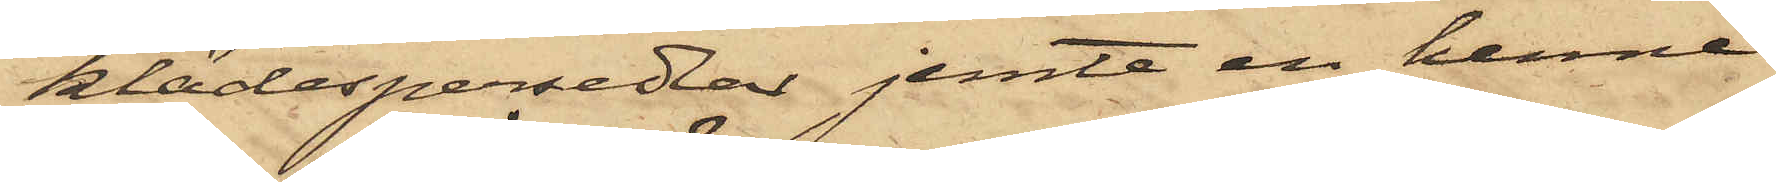klädespersedlar jemte en henne
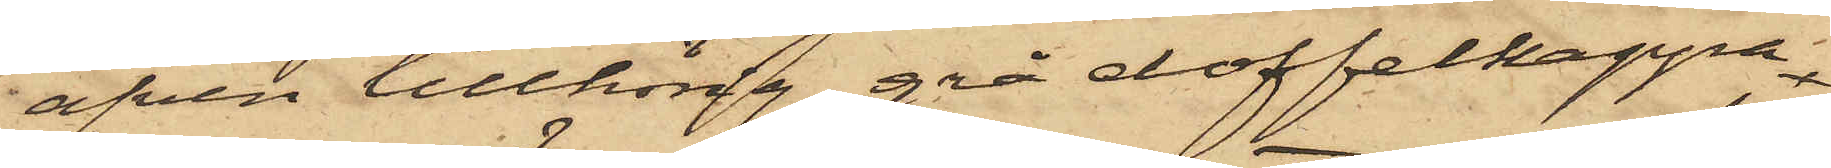äfven tillhörig grå doffelkappa
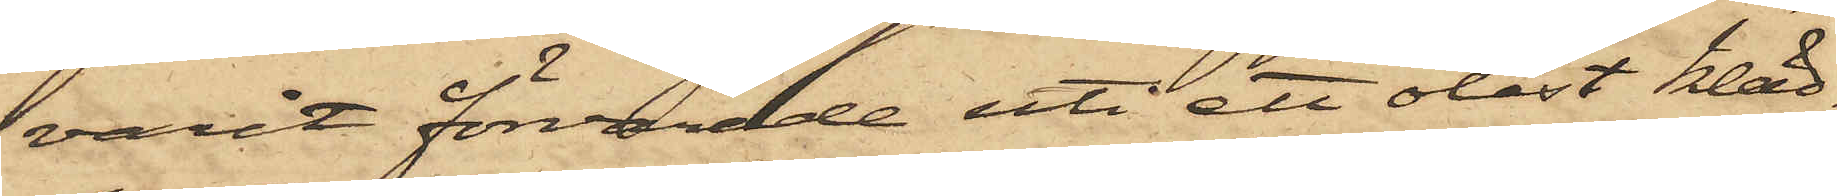varit förvarade uti ett olåst kläd¬
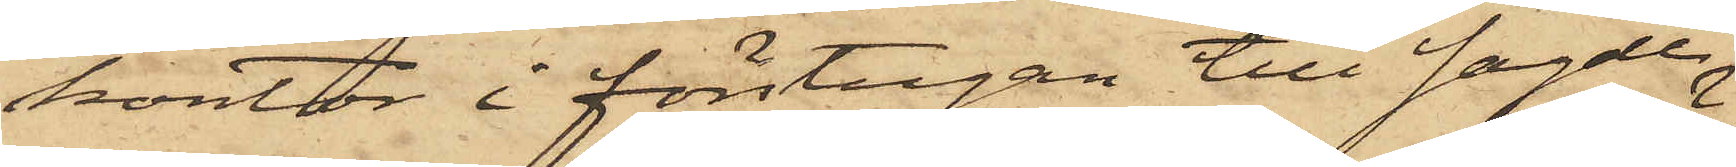kontor i förstugan till sagde
